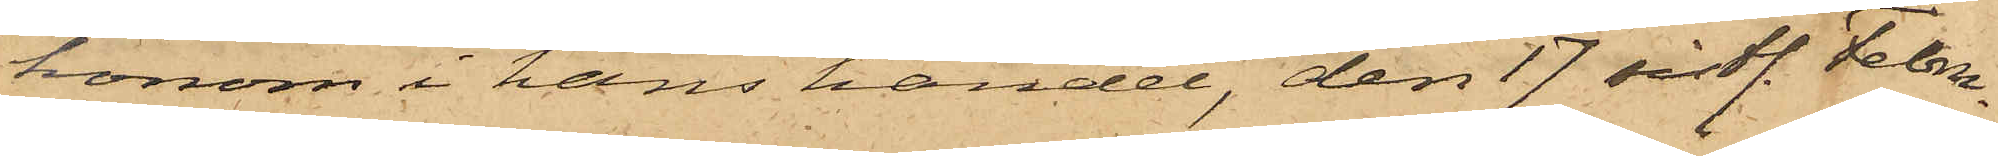honom i hans handel, den 17 sistl. Febru¬
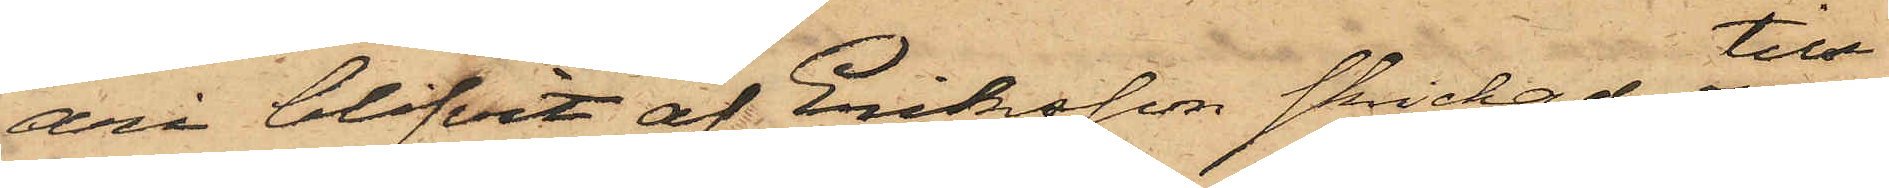ari blifvit af Eriksson skickad till
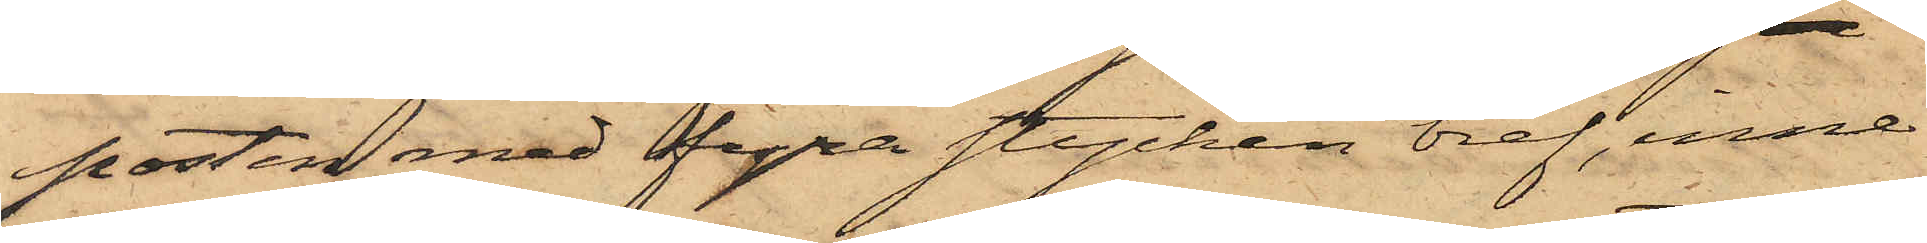posten med fyra stycken bref, inne¬
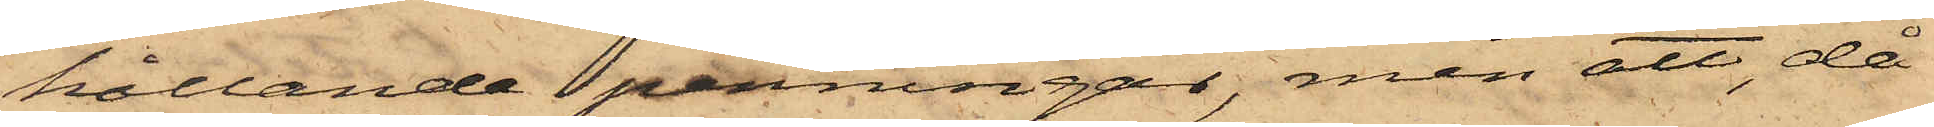hållande penningar, men att då
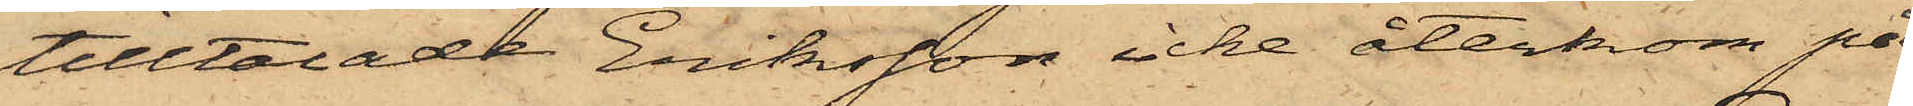tilltalade Eriksson icke återkom på
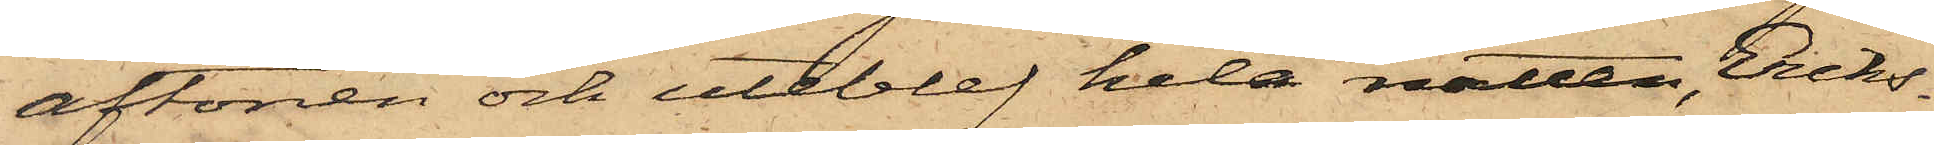aftonen och uteblef hela natten, Eriks¬
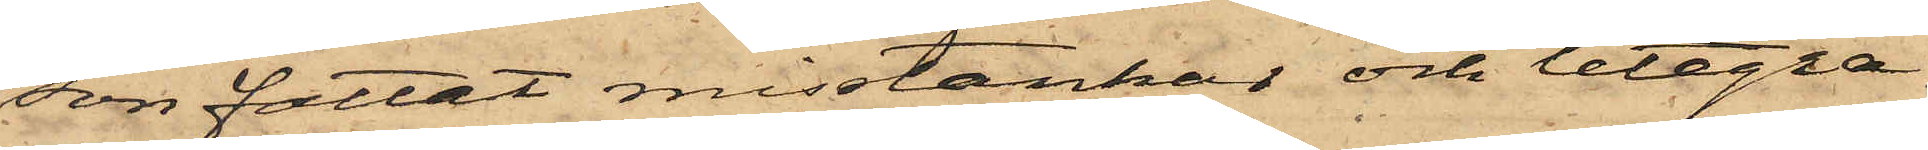son fattat misstankar och telegra¬
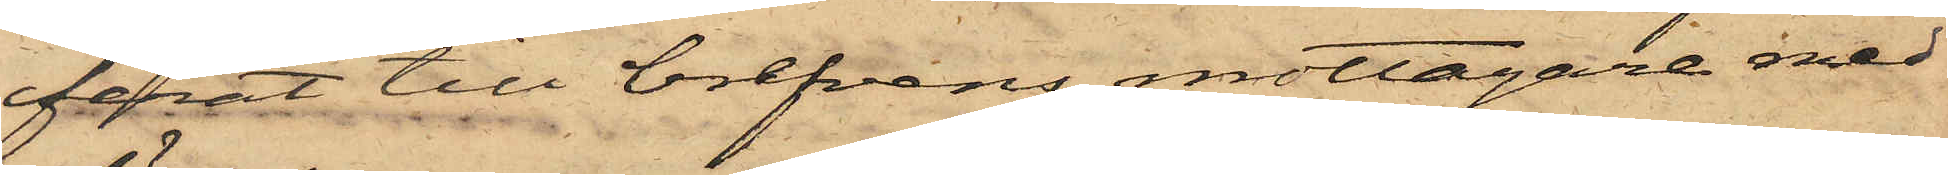ferat till brefvens mottagare med
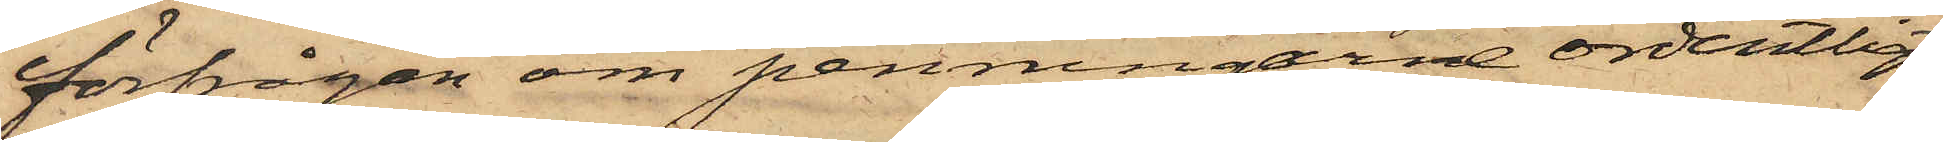förfrågan om penningarne ordentligt
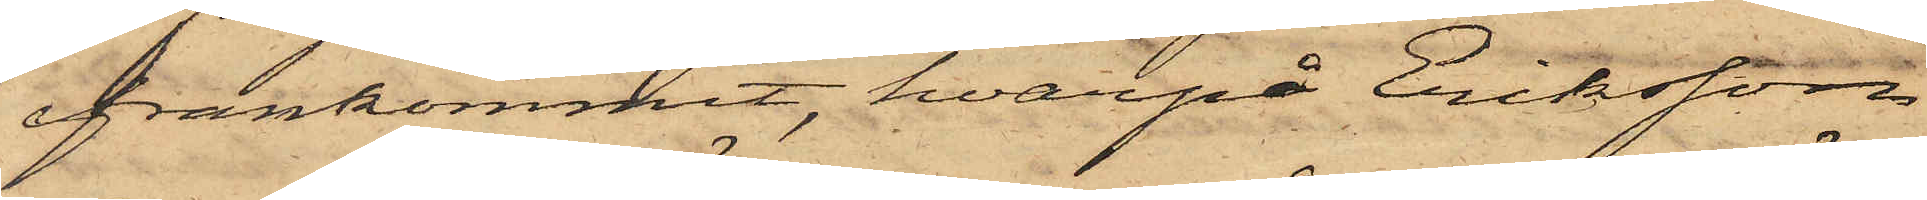framkommit, hvarpå Eriksson
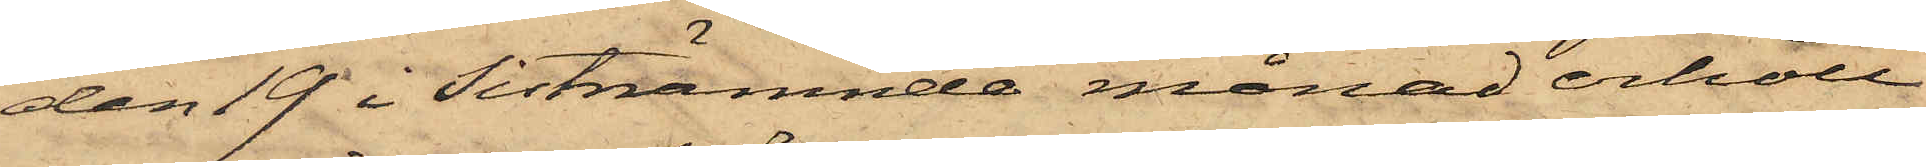den 19 i sistnämnde månad erhöll
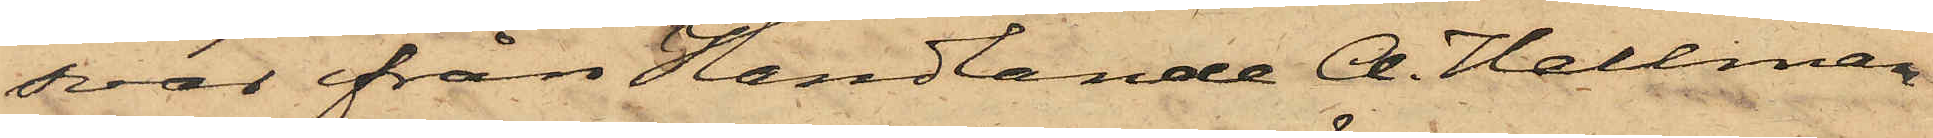svar från Handlande A. Hellman
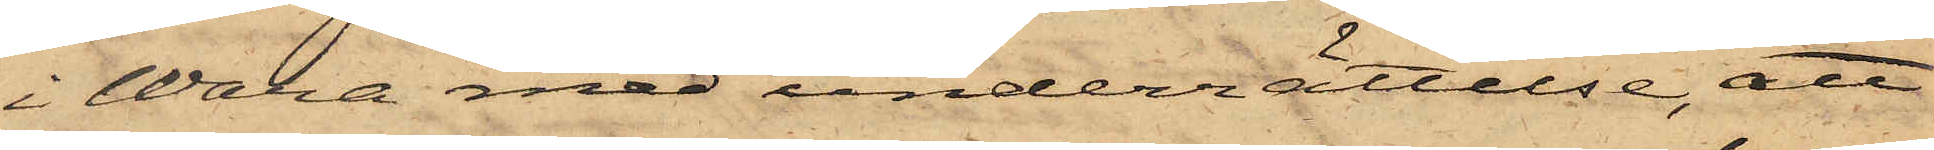i Wara med underrättelse, att
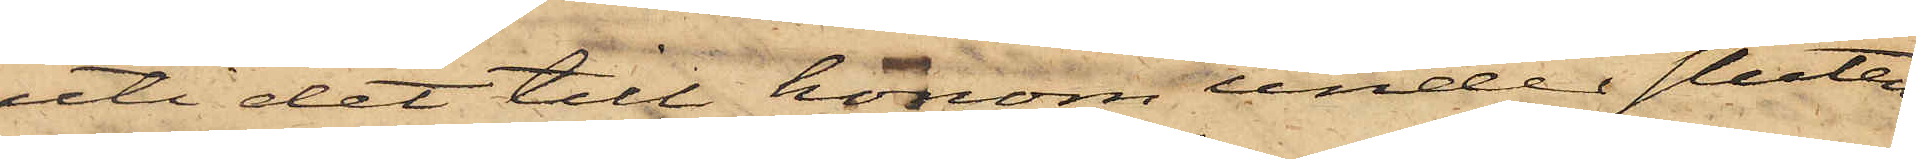uti det till honom under sluten
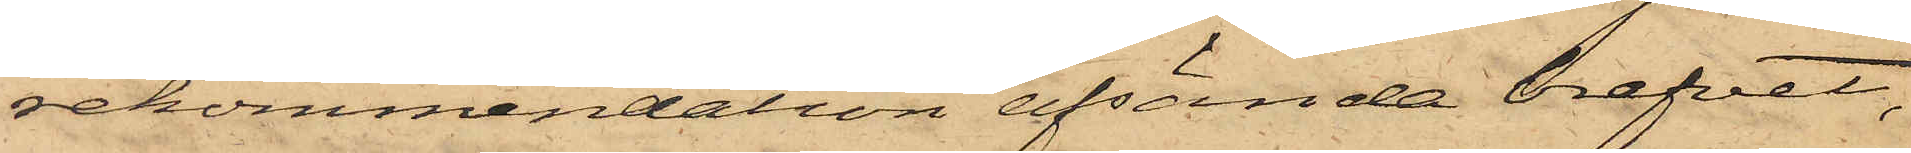rekommendation afsända brefvet,
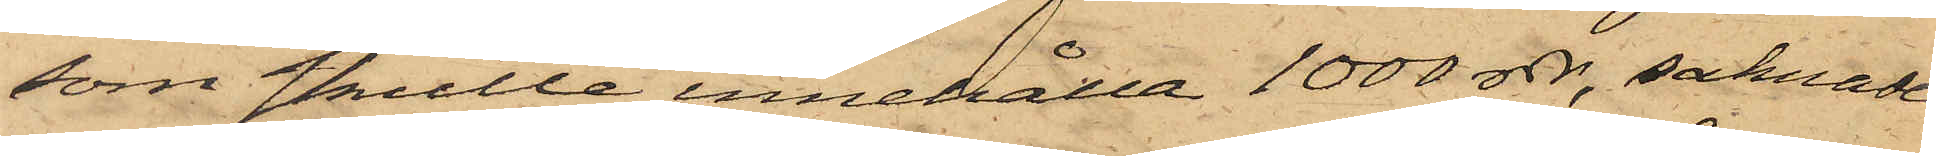som skulle innehålla 1000 rdr, saknade
